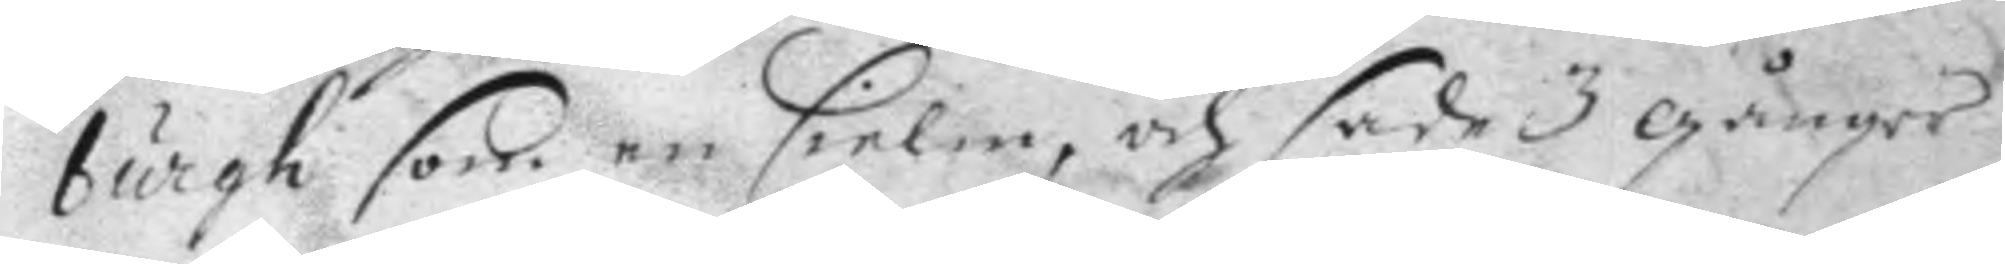burgh som en sielm, och sade 3 gånger
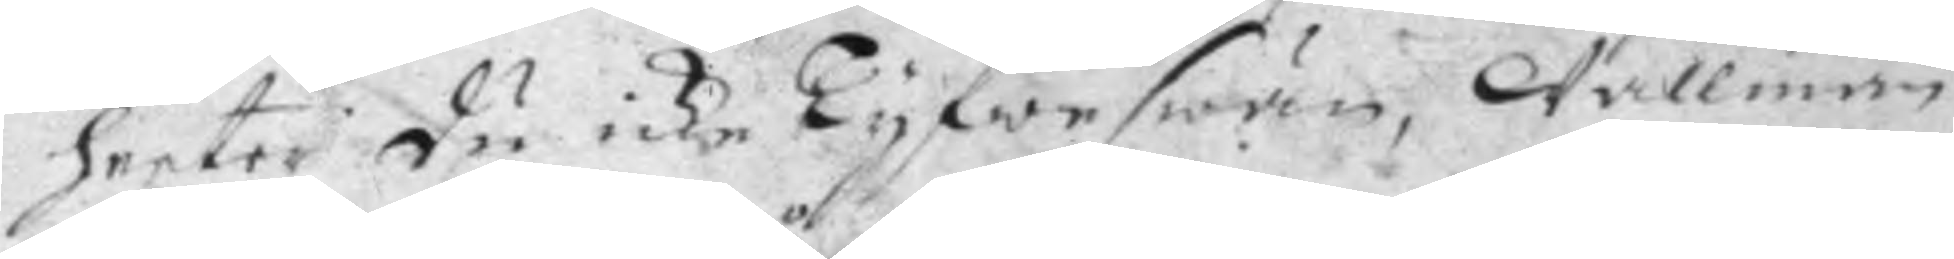heeter du icke Tyfweswän, Wallman
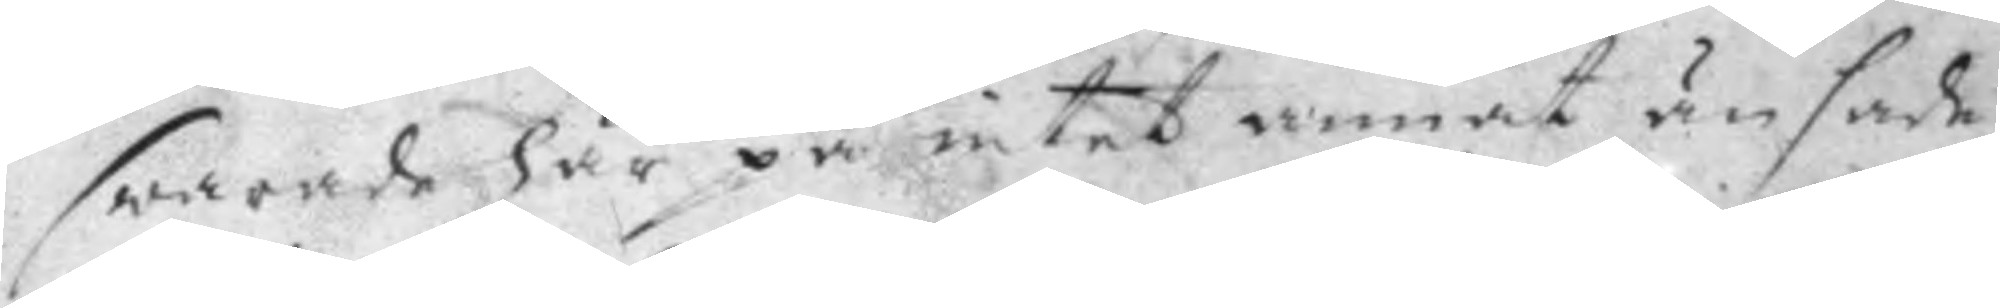swarade här på intet annat än sade,
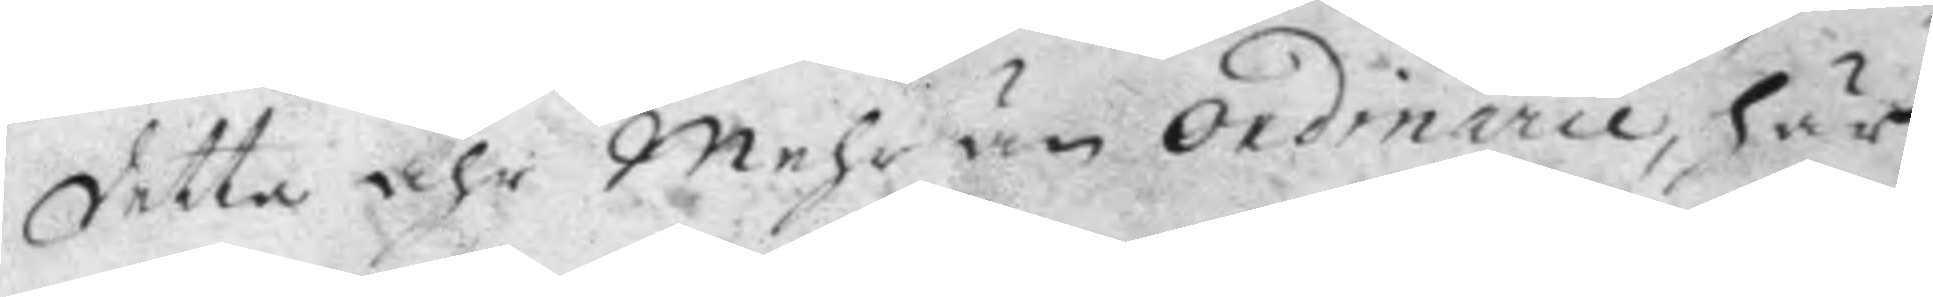detta åhr Mehr än ordinarie, här
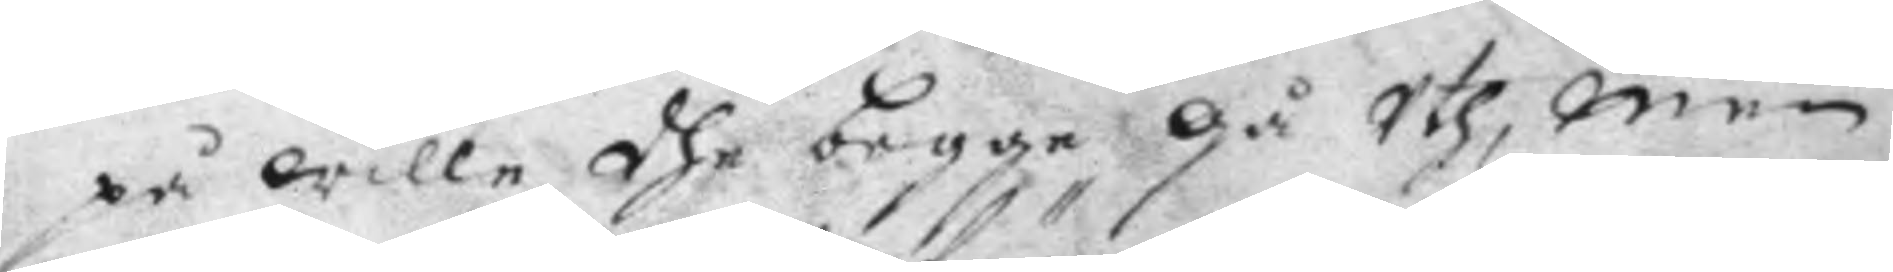på wille dhe begge gå Uth, men
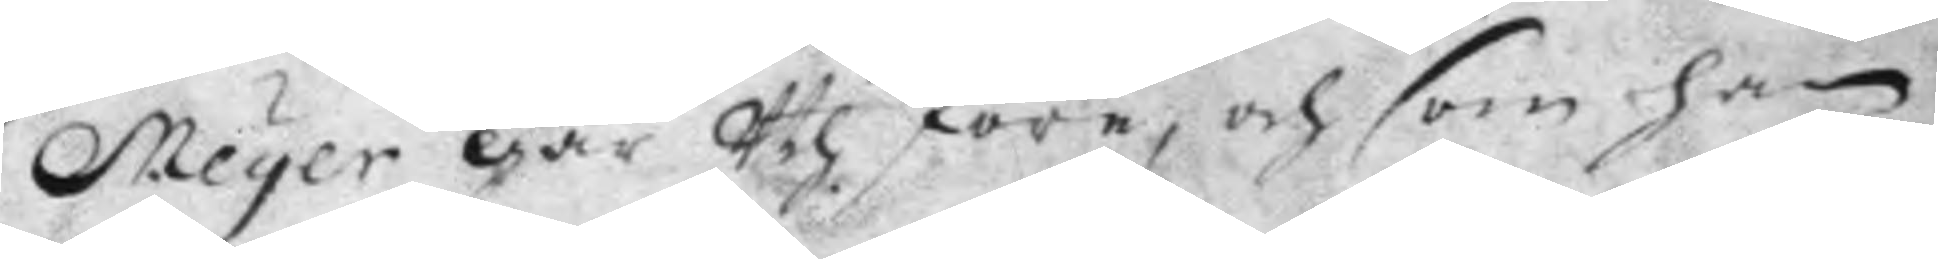Meyer går Uth före, och som han 
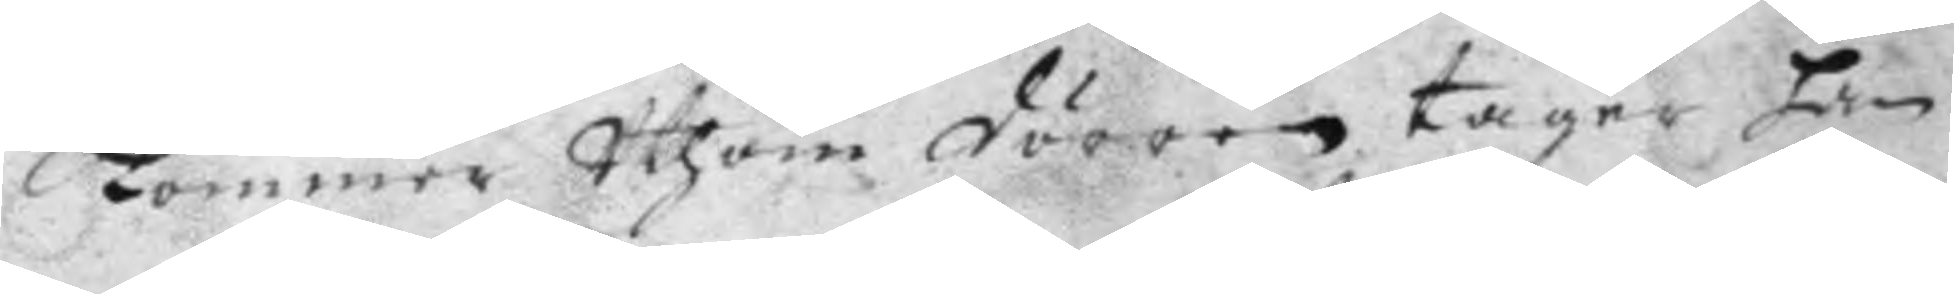kommer Uthom dörren tager hän
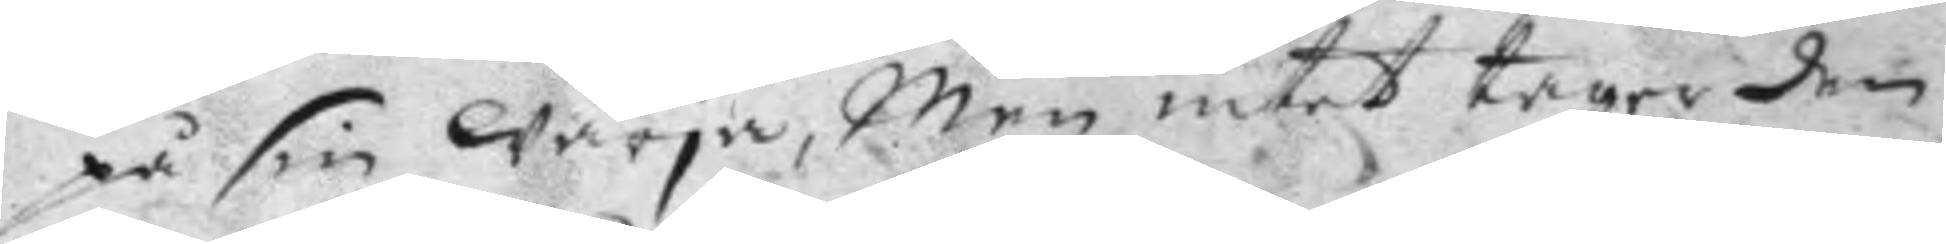på sin wärja, Men intet tager den
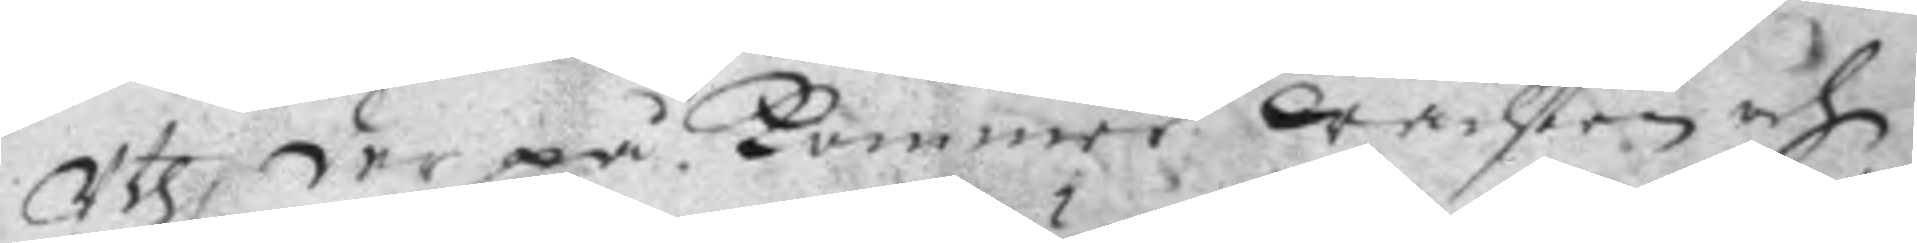Uth der på kommer wachten och
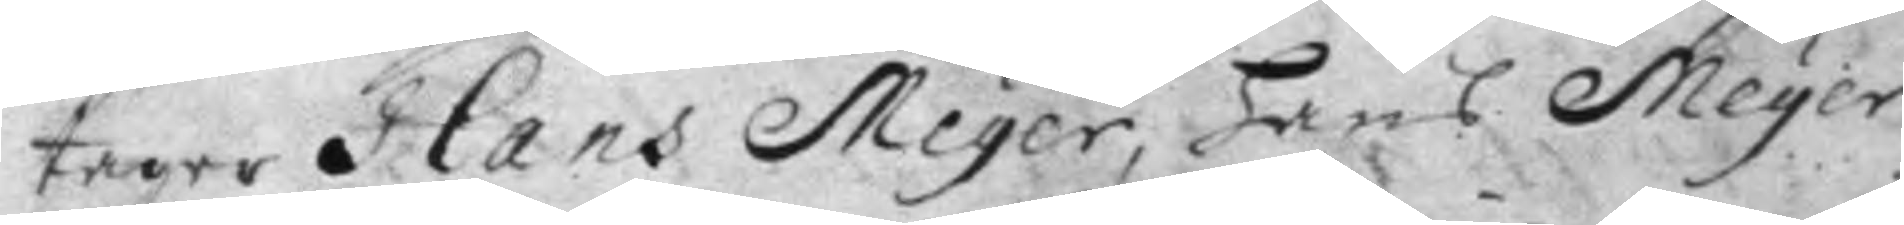tager Hans Meger, Hans Meyer
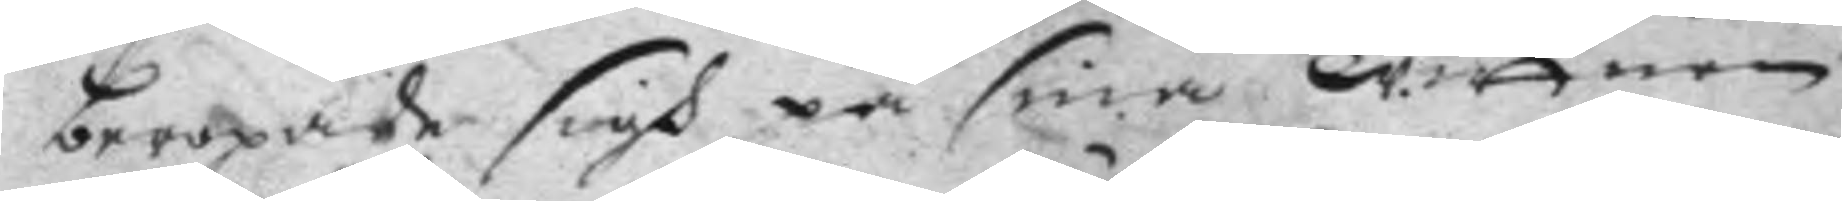beropade sigh på sina wittnen
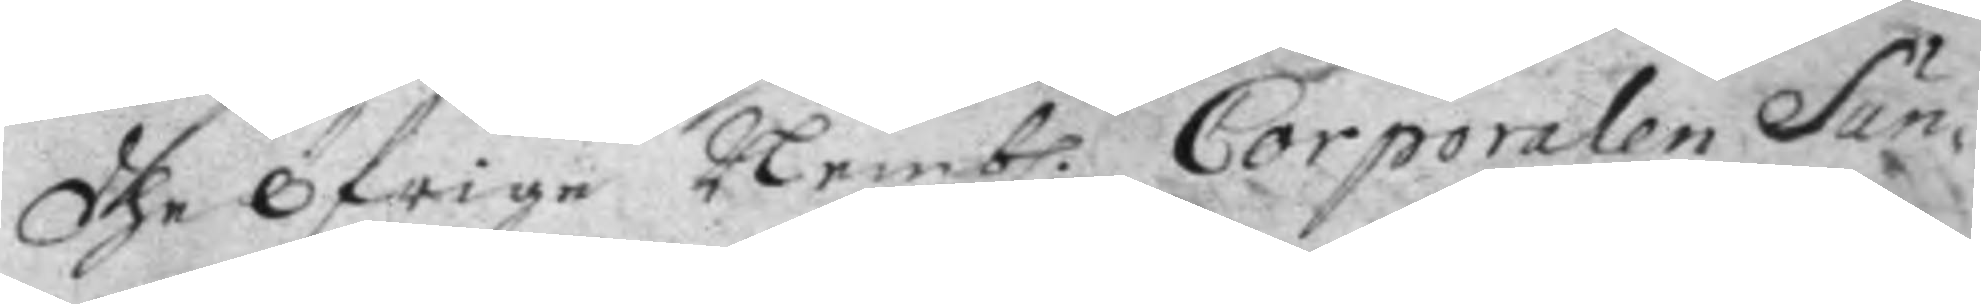dhe öfrige Nemb. Corporalen Sun¬ 
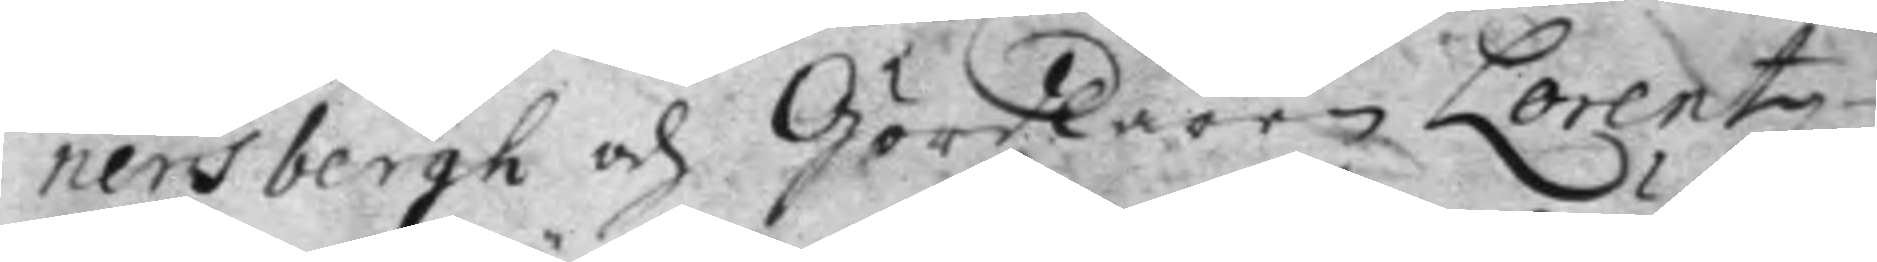nersbergh och Gördlaren Lorentz
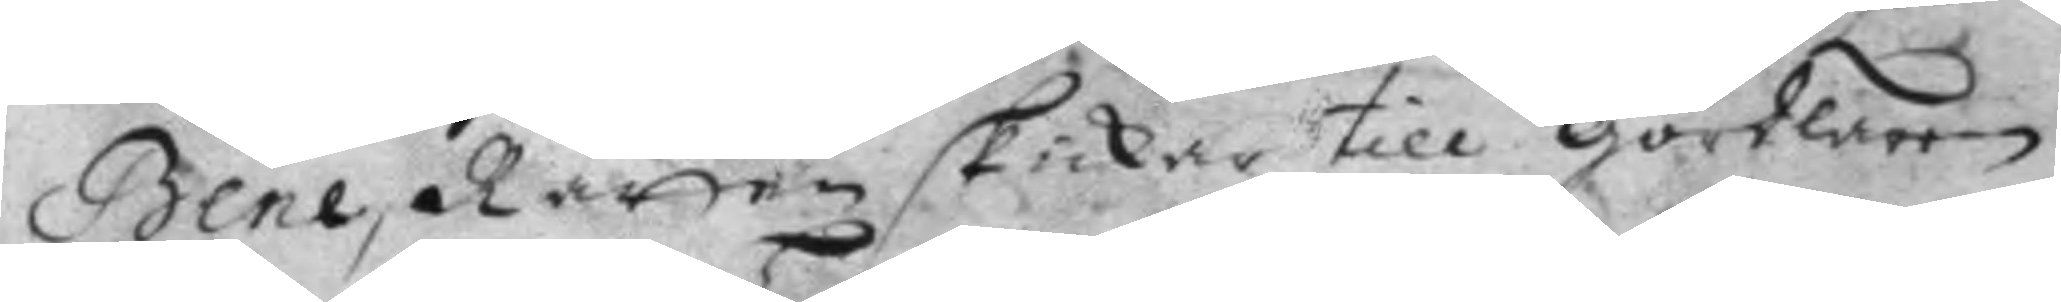Bene, Rätten skickar till gördlaren
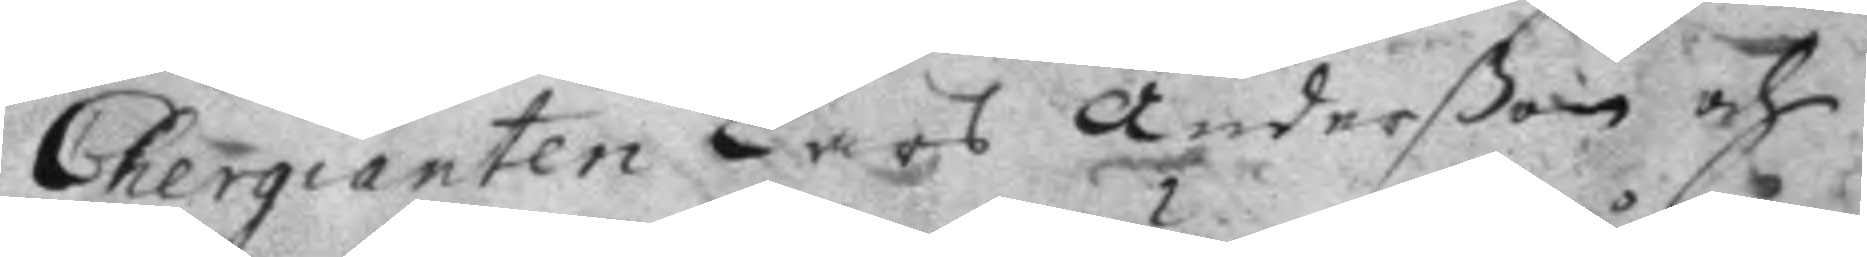Chergianten Lars Anderßon och
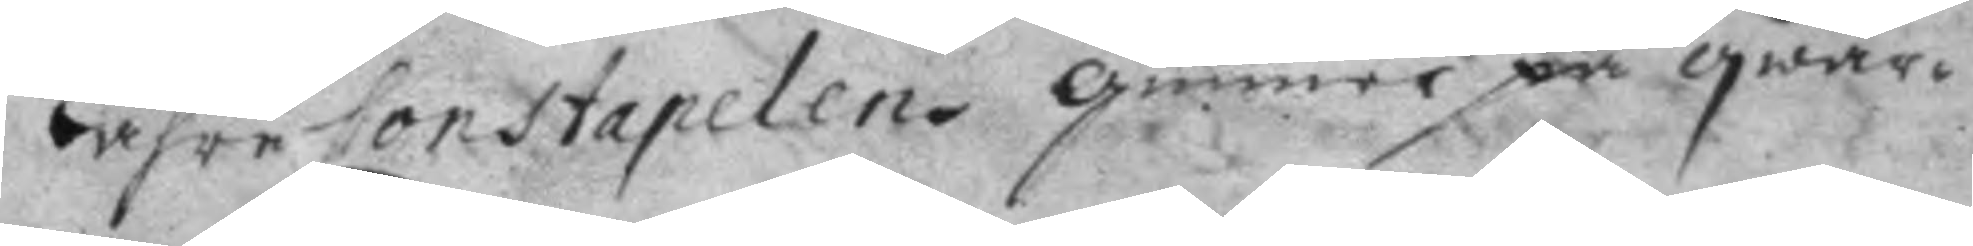Lähre Constapelen gunner på qwar¬
